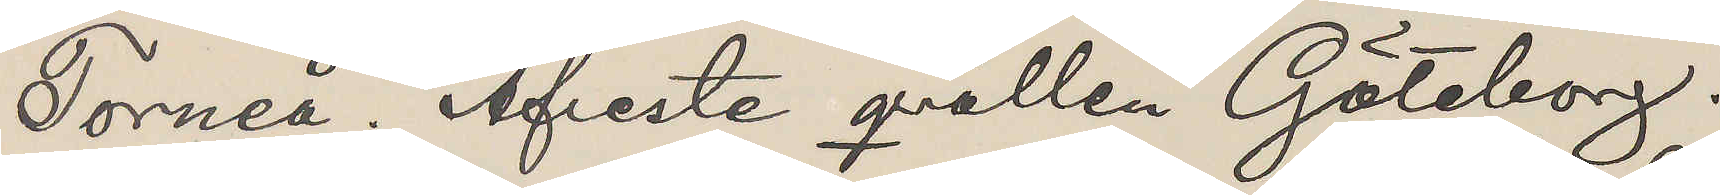"Torneå." Afreste qvällen Göteborg.
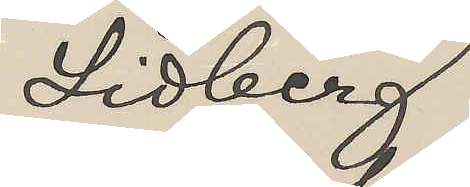Lidberg
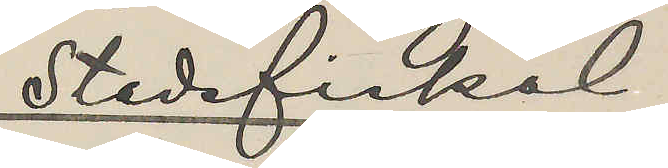Stadsfiskal
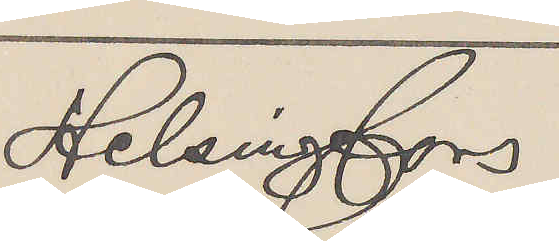Helsingfors
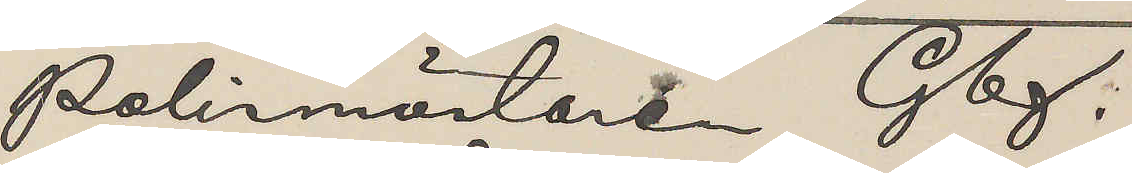Polismästaren Gbg.
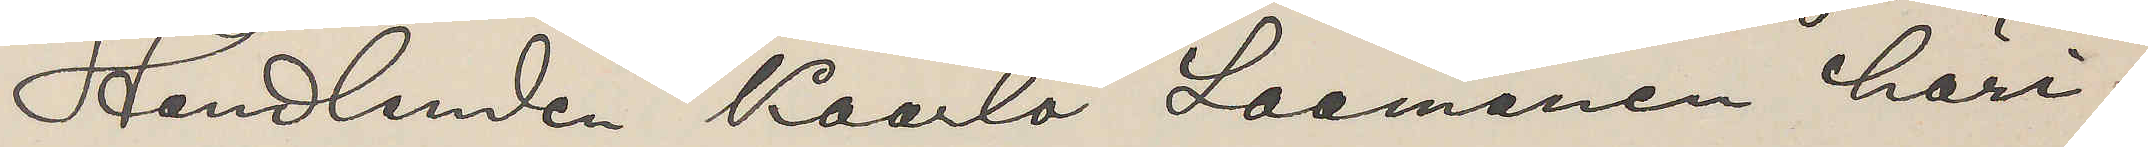Handlanden Kaarlo Laamanen häri¬
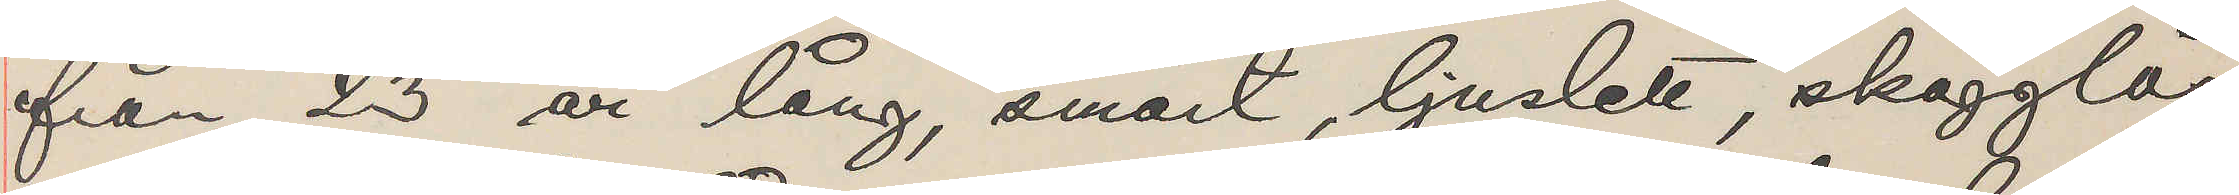från, 23 år lång, smärt, ljuslett, skägglös
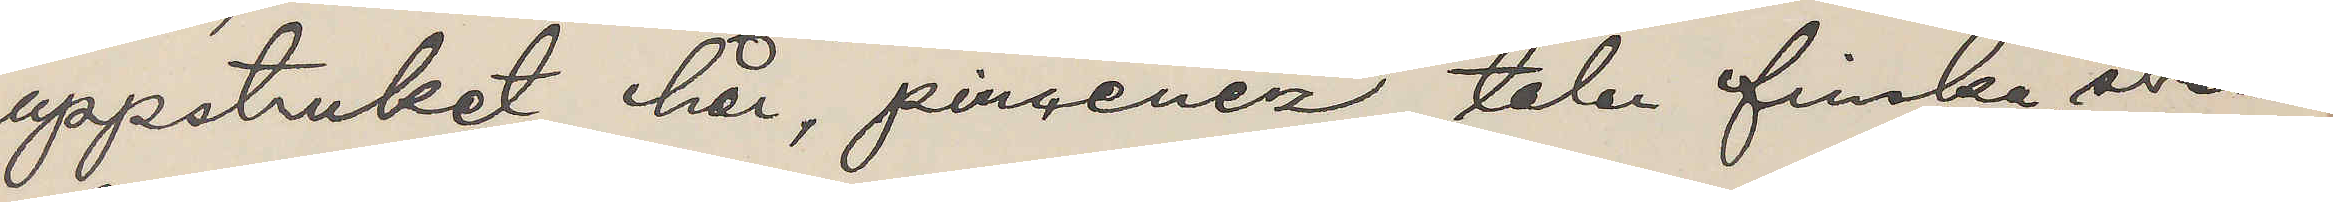uppstruket hår, pincenez, talar finska, sven¬
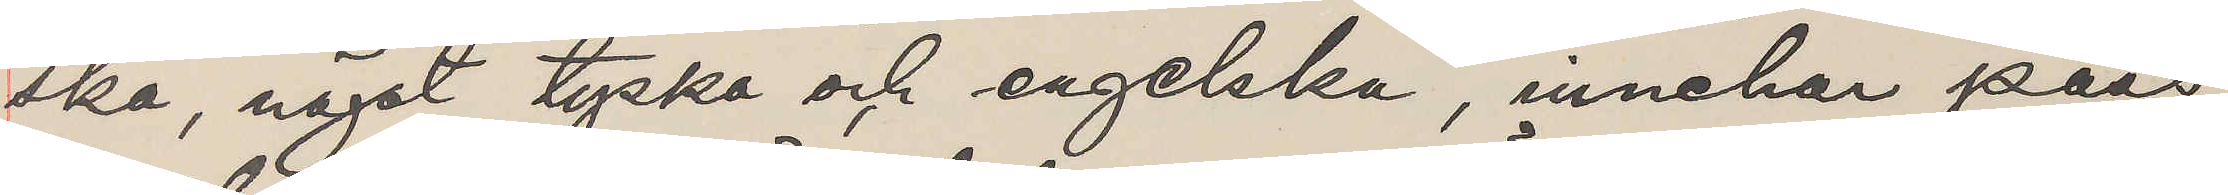ska, något tyska och engelska, innehar pass
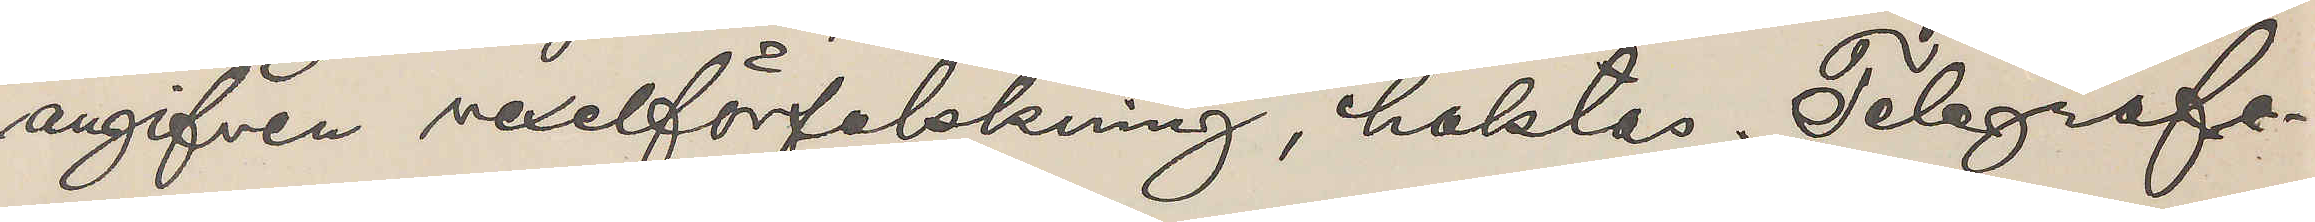angifven vexelförfalskning, häktas. Telegrafe¬
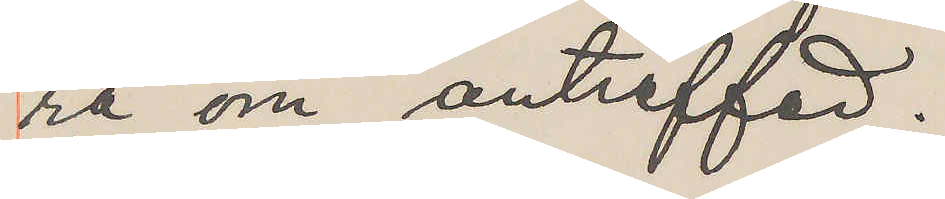ra om anträffad.
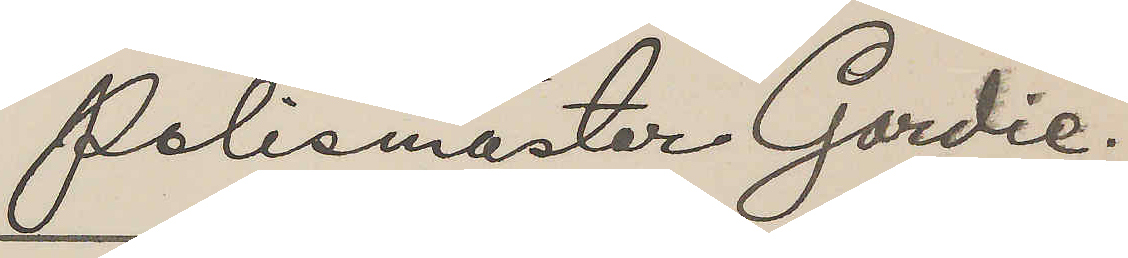Polismäster Gordie.
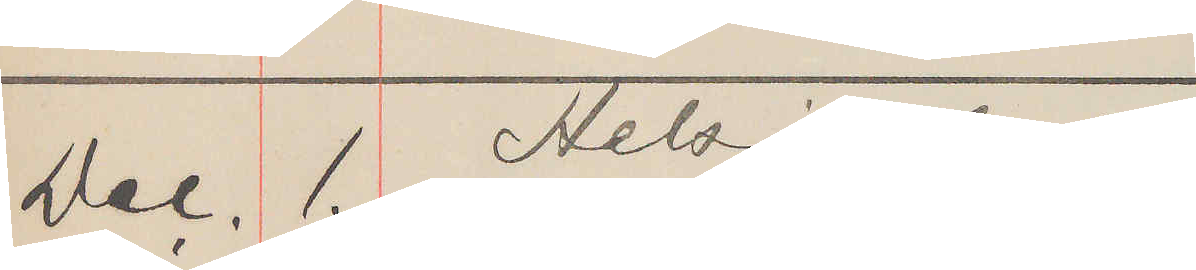Dec. 1. Helsingfors
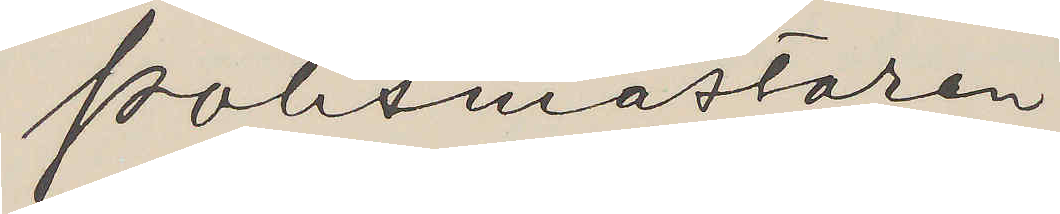Polismästaren,
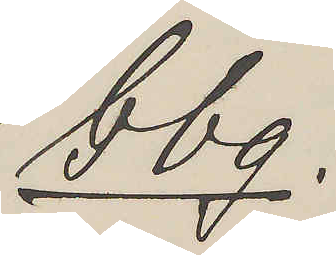Gbg.
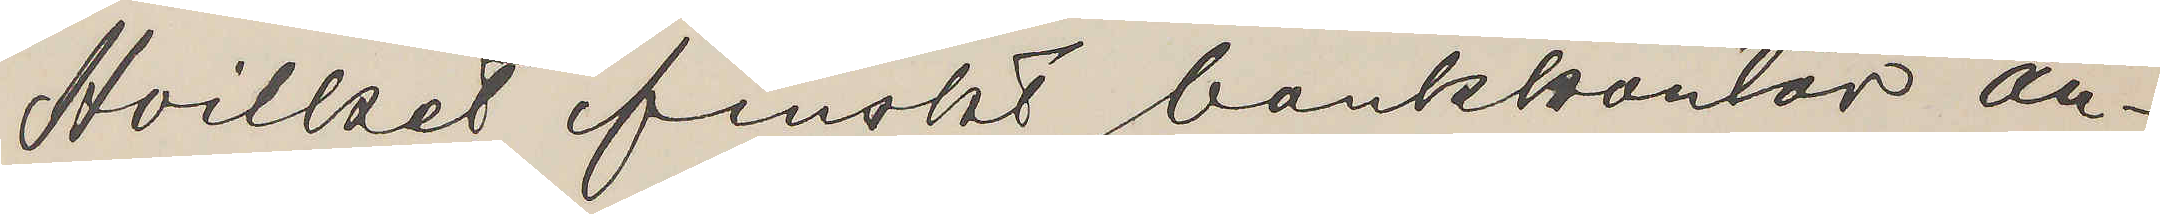Hvilket finskt bankkontor an¬
